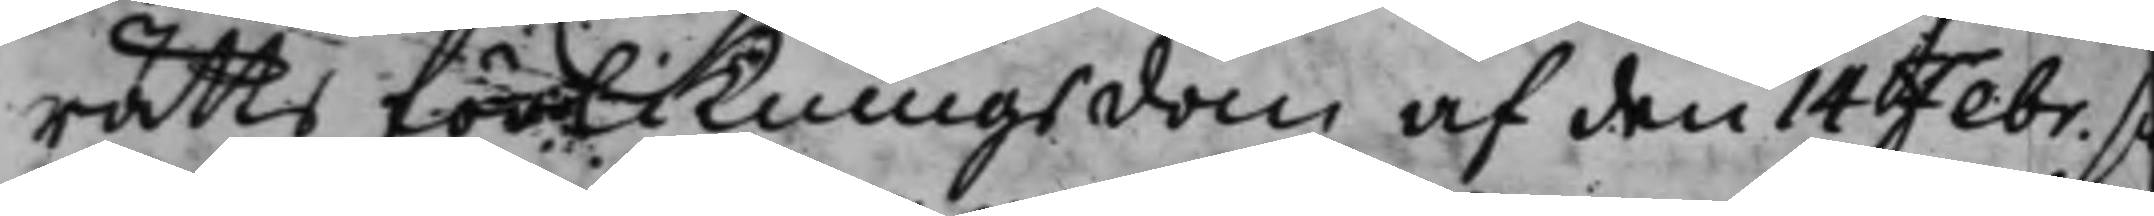rätts förlikningsdom af den 14 Febr. s
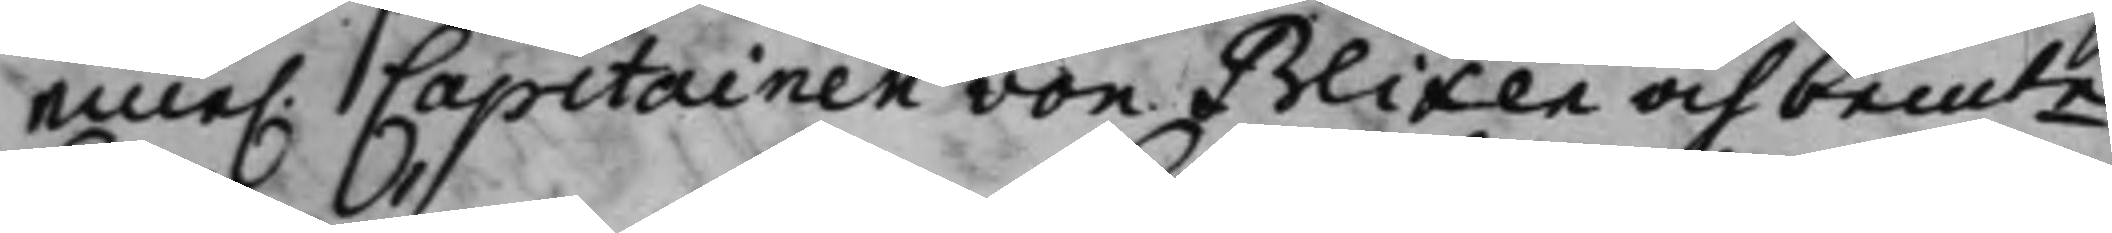eme. Capitainen von Blixen och bemte
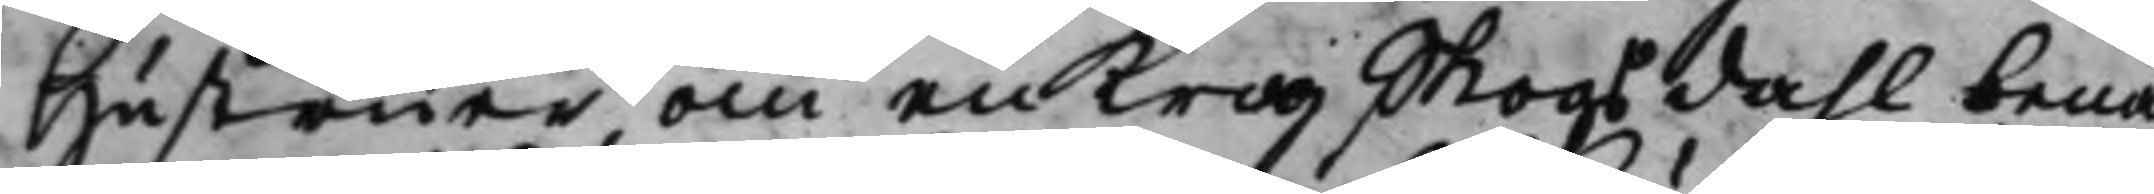Hustruer, om en krog Skogsdahl benä
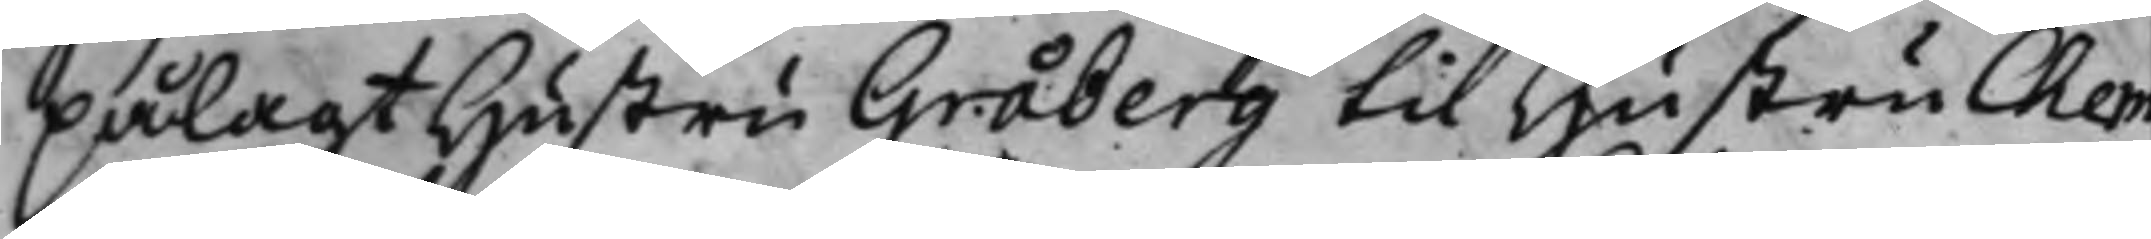pålagt Hustru Gråberg til Hustru Chem¬
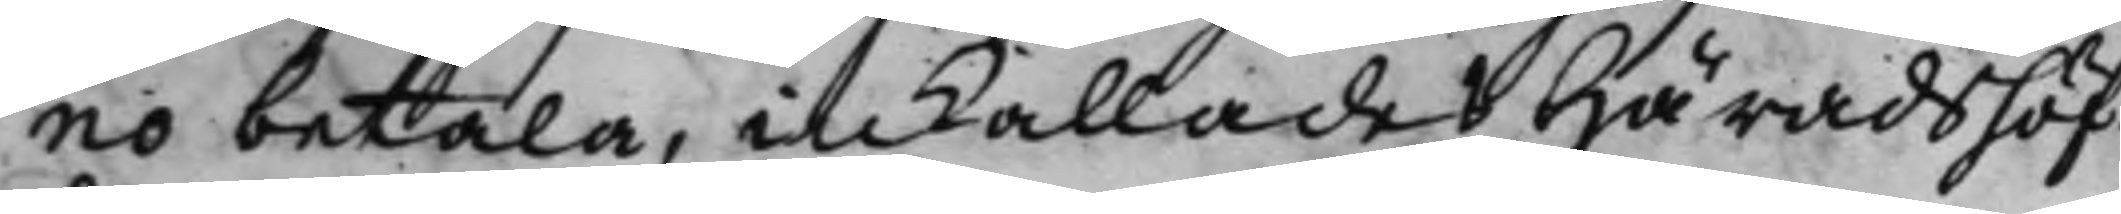no betala, inkallades Häradshöf¬
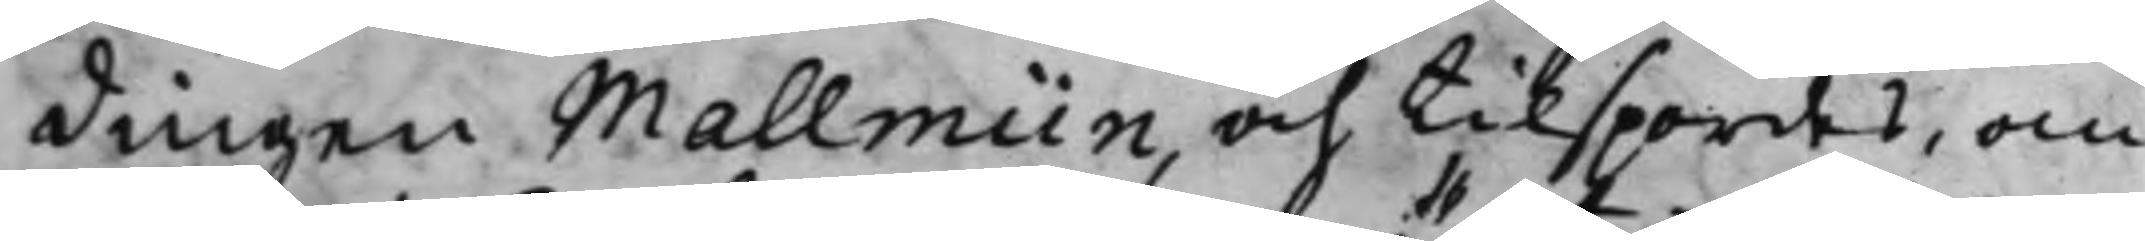dingen Mallmiin, och tilspordes, om
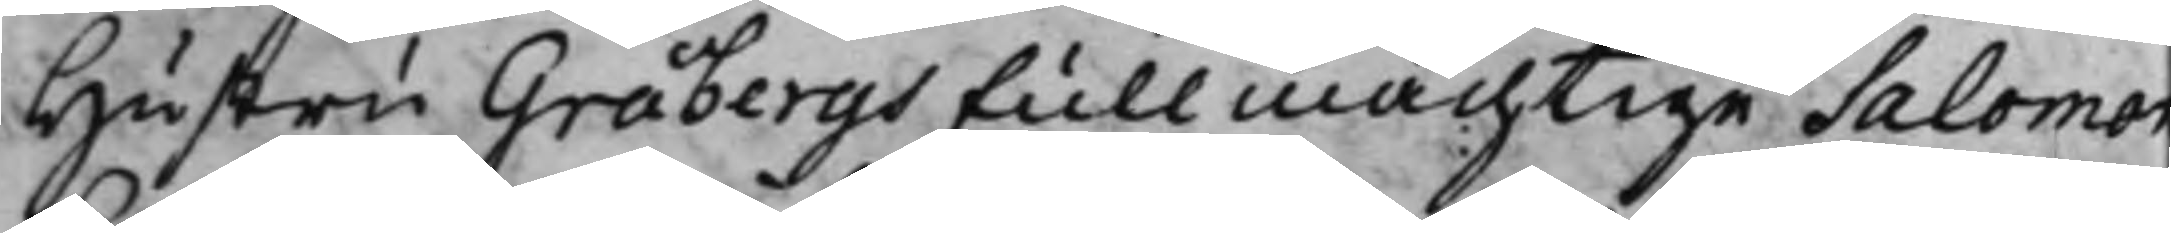Hustru Gråbergs Fullmächtige Salomon
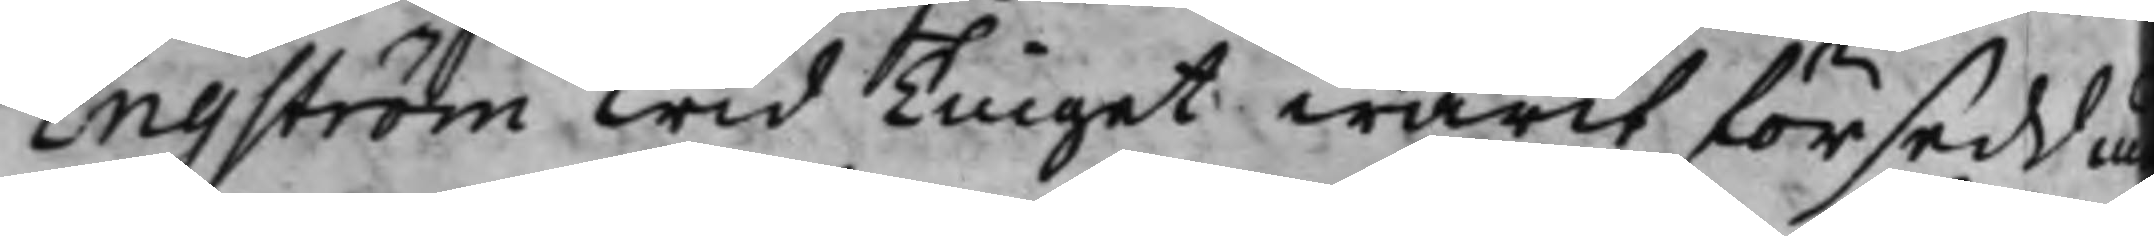Engström wid Tinget warit försedd m
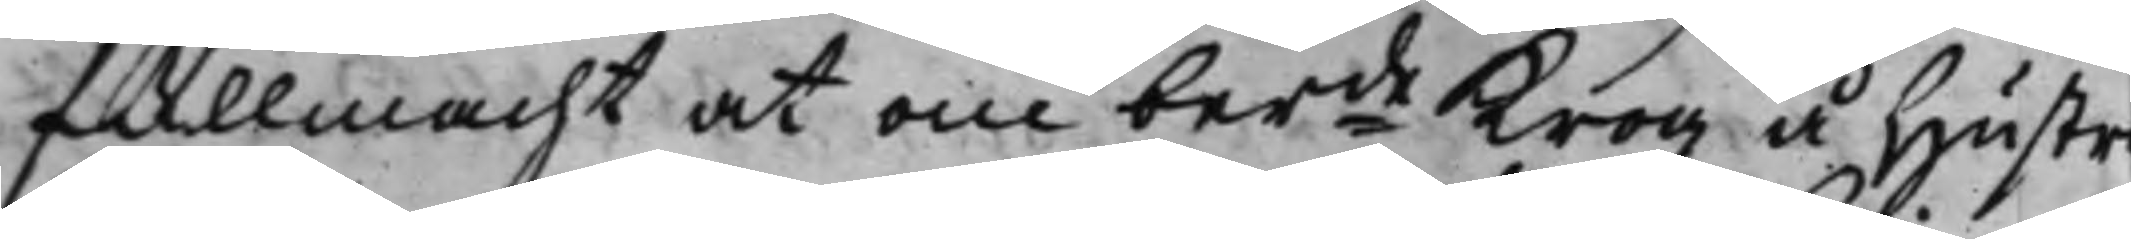fullmacht at om berde krog å Hustru
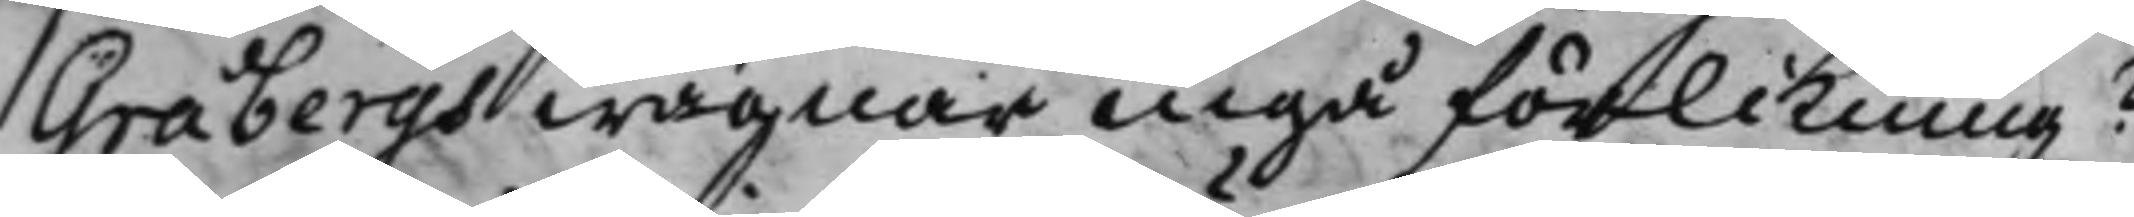Gråbergs wägnar ingå förlikning?
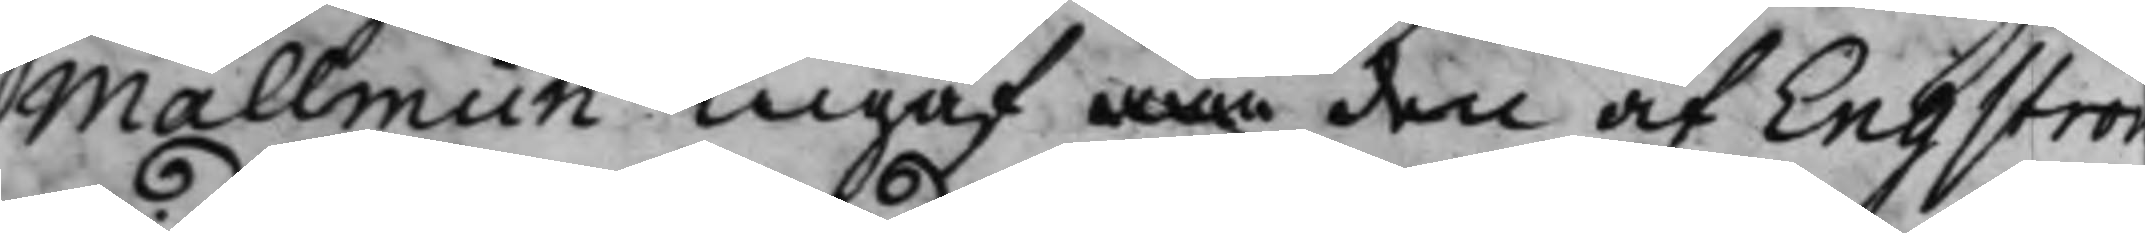Mallmiin ingaf wän den af Engström
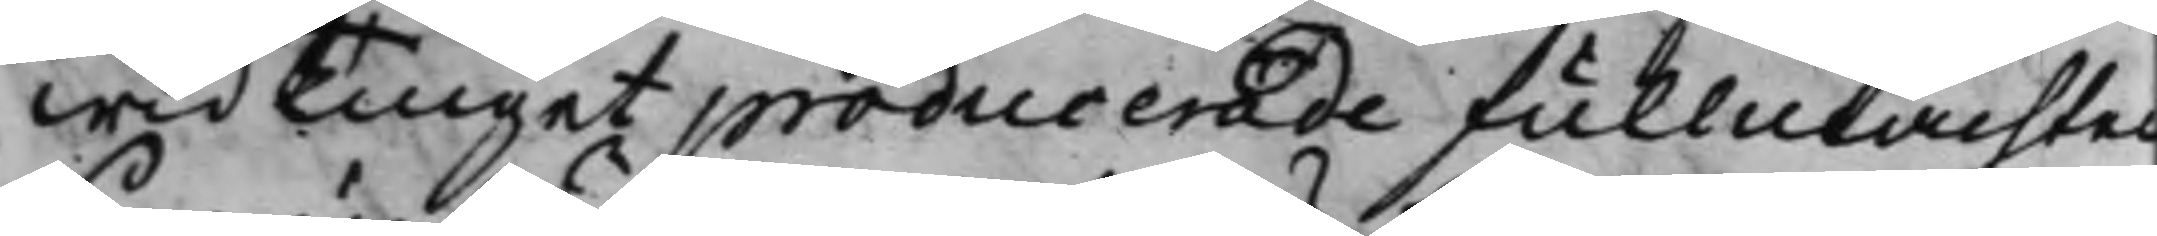wid Tinget producerade fullmachten
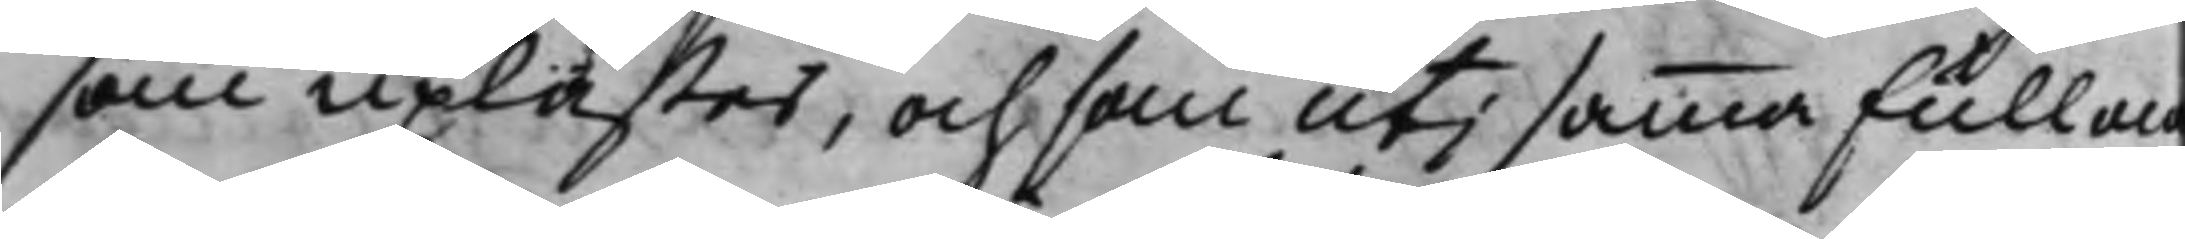som uplästes, och som uti samma fullma
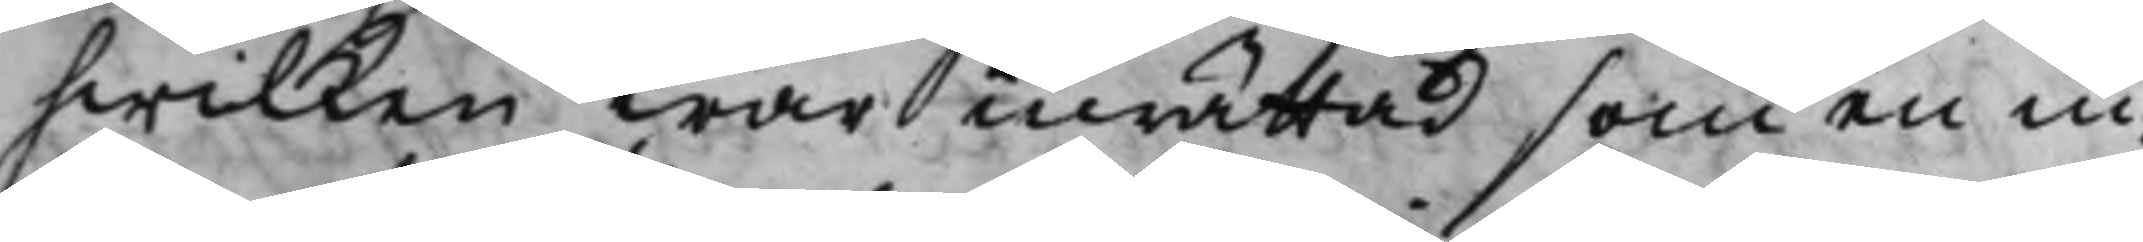hwilken war inrättad som en in¬
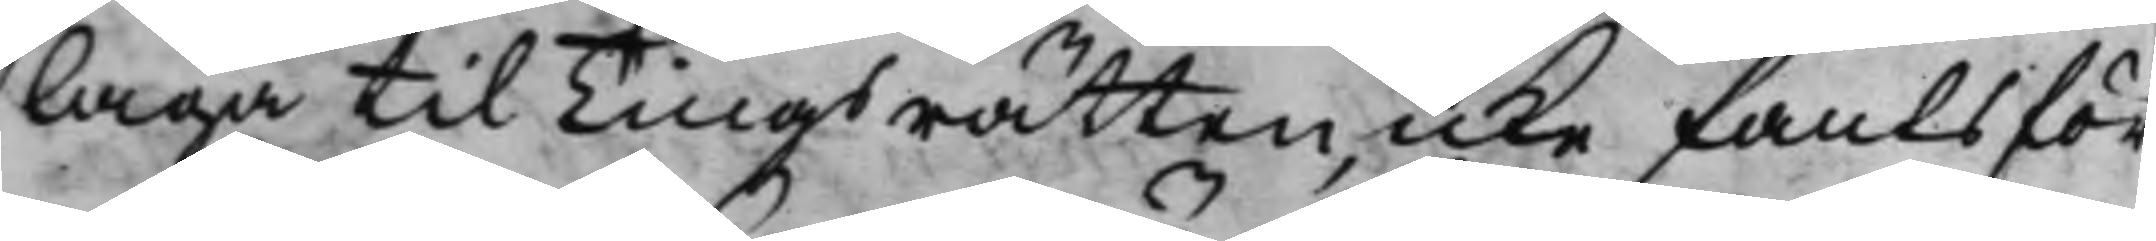laga til Tingsrätten, icke fants för¬
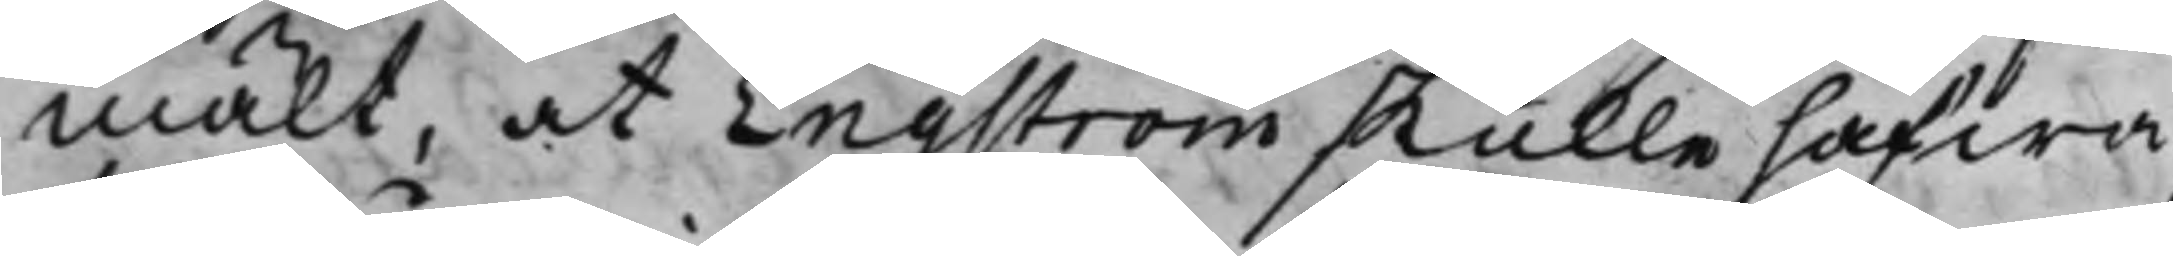mält, at Engström skulle hafwa
